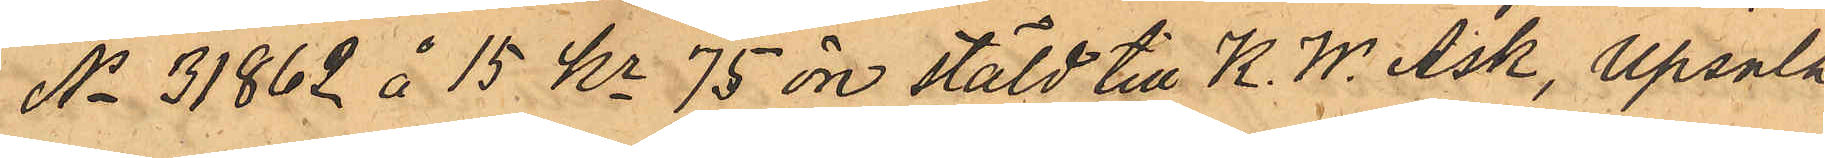No 31862 å 15 Kr 75 öre stäld till K. W. Ask, Upsala
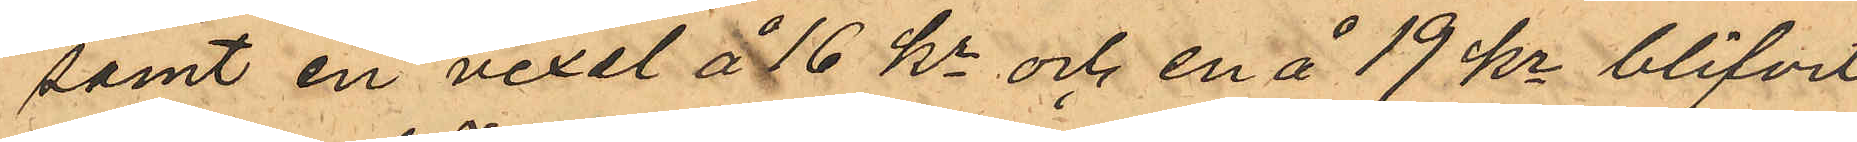samt en vexel å 16 kr och en å 19 kr blifvit
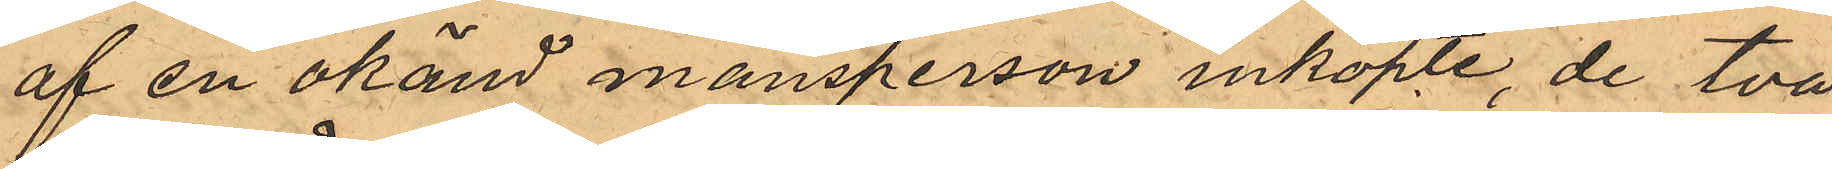af en okänd mansperson inköpte, de två
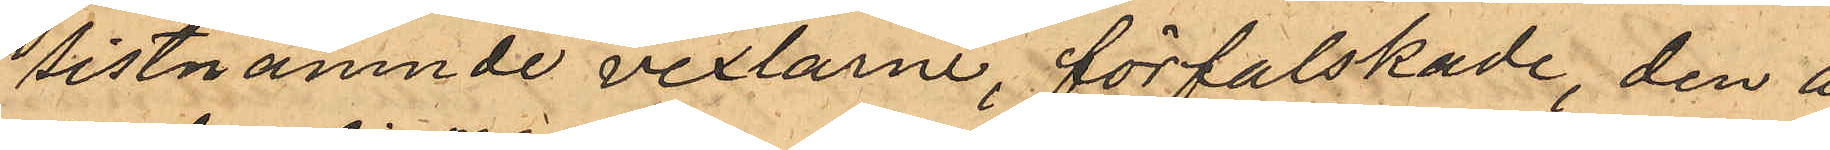sistnämnde vexlarne, förfalskade, den å
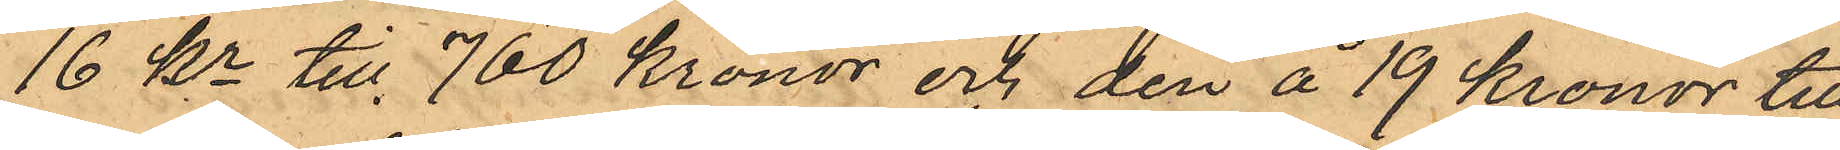16 Kr till 760 kronor och den å 19 kronor till
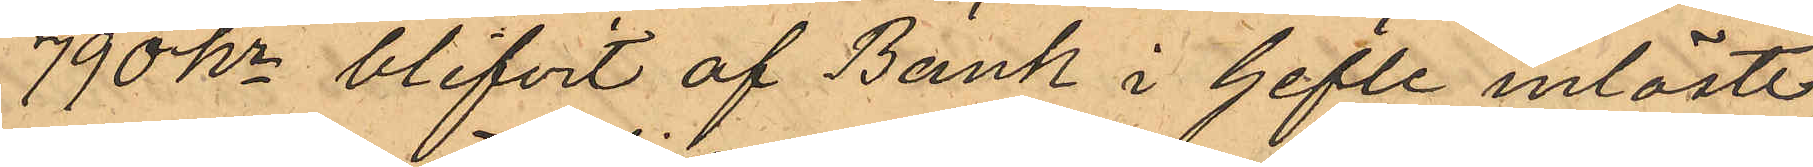790 kr blifvit af Bank i Gefle inlöste;
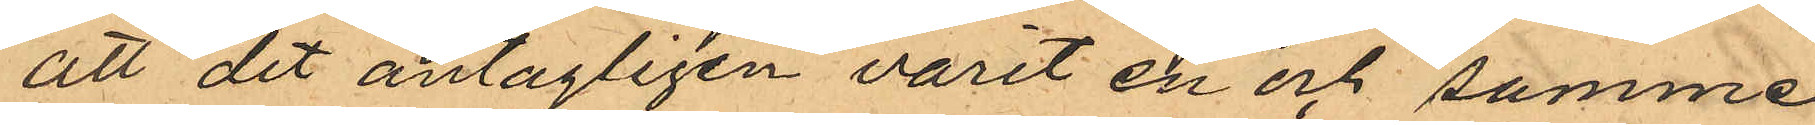att det antagligen varit en och samme
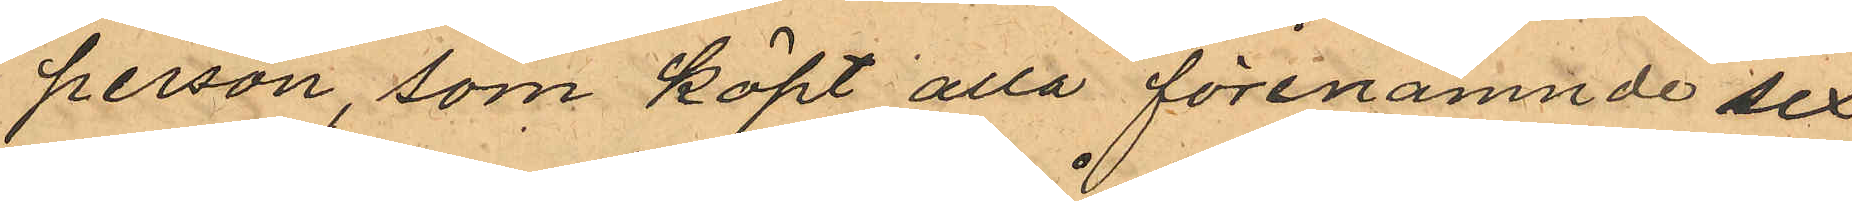person, som köpt alla förenämnde sex
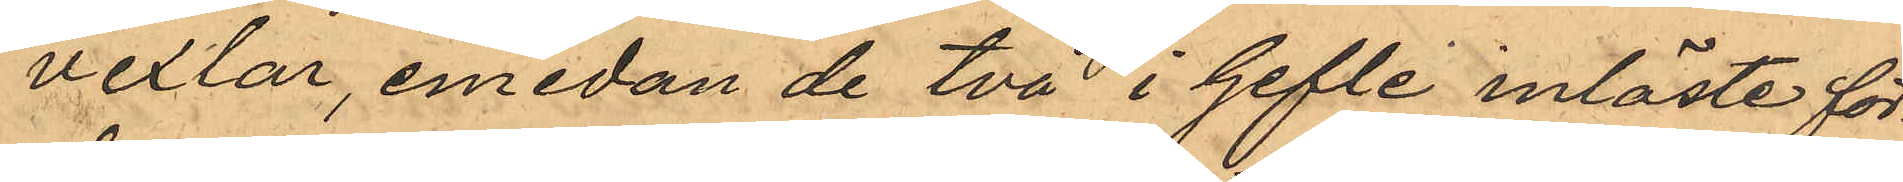vexlar, emedan de två i Gefte inlöste för¬
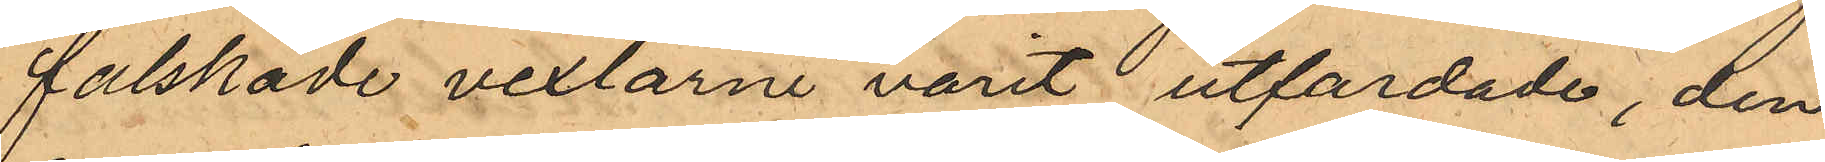falskade vexlarne varit utfardade, den
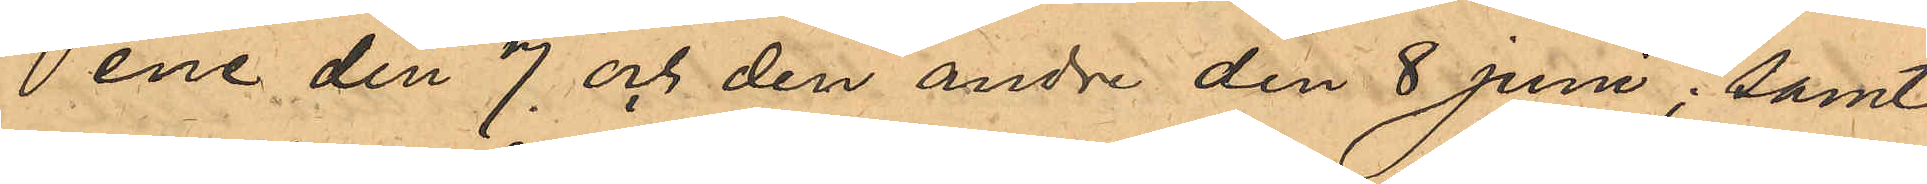ene den 7 och den andre den 8 Juni; samt
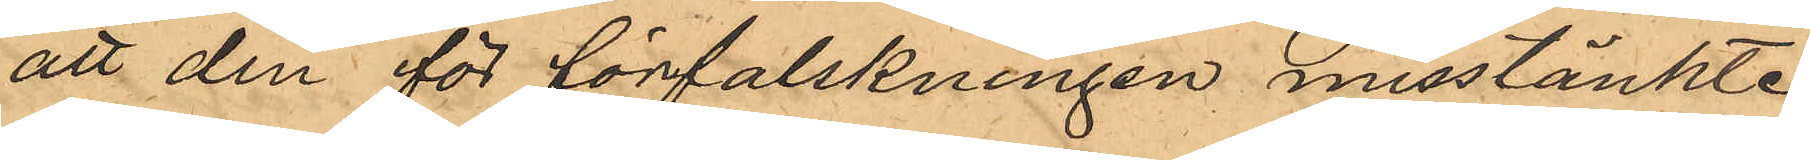att den för förfalskningen misstänkte
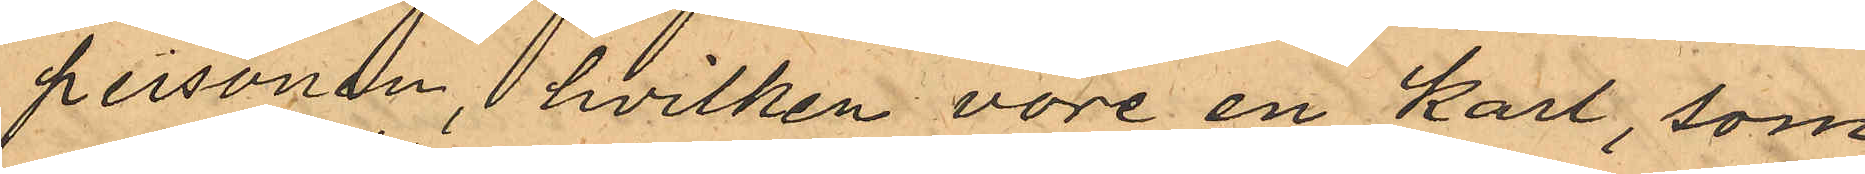personen, hvilken vore en karl, som
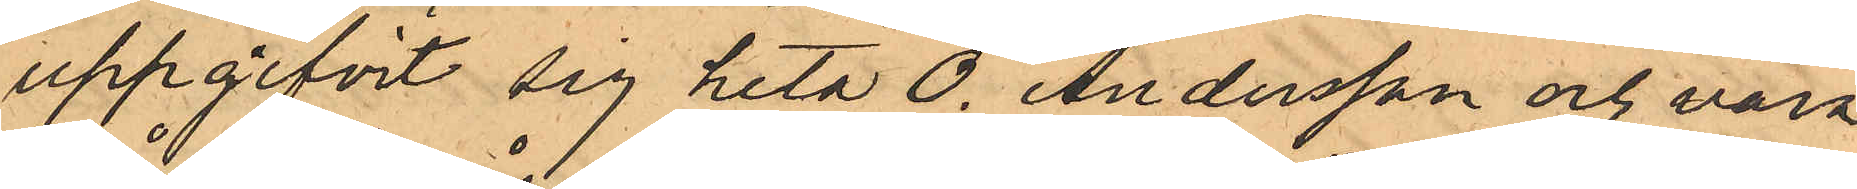uppgifvit sig heta O. Andersson och vara
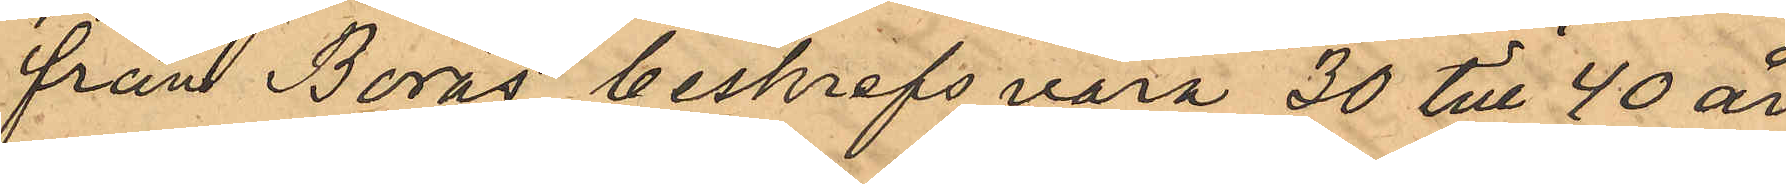från Borås, beskrefs vara 30 till 40 år
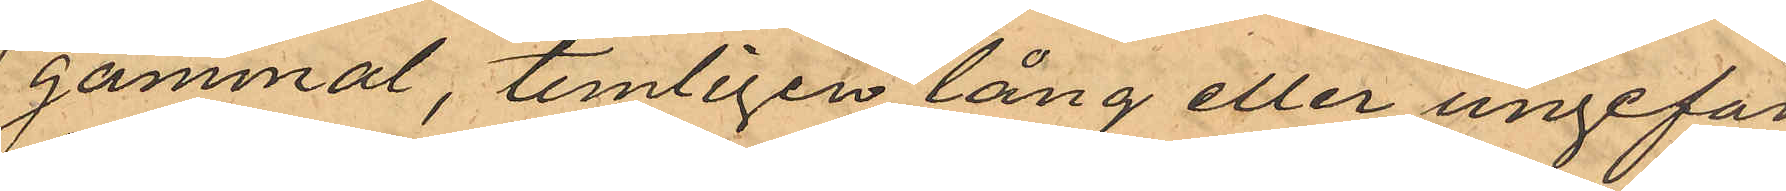gammal, temligen lång eller ungefär
